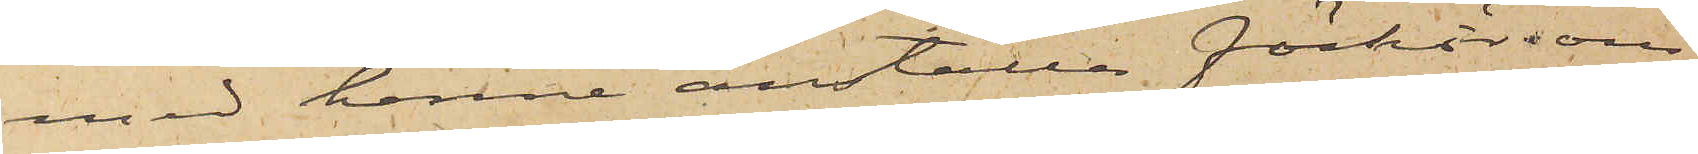med henne anställa förhör om
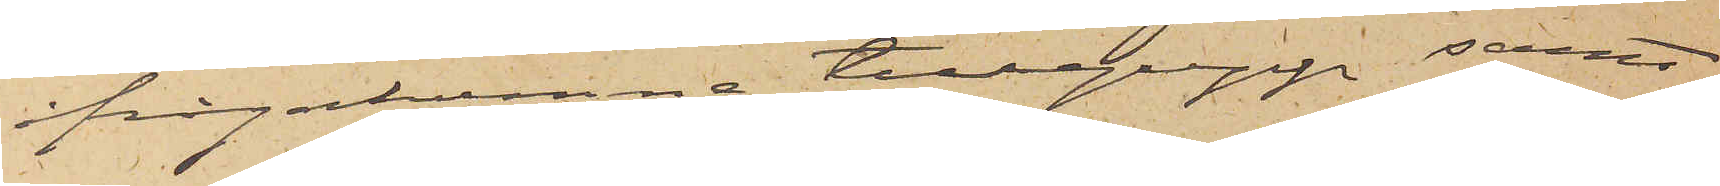ifrågakomne tillgrepp samt,
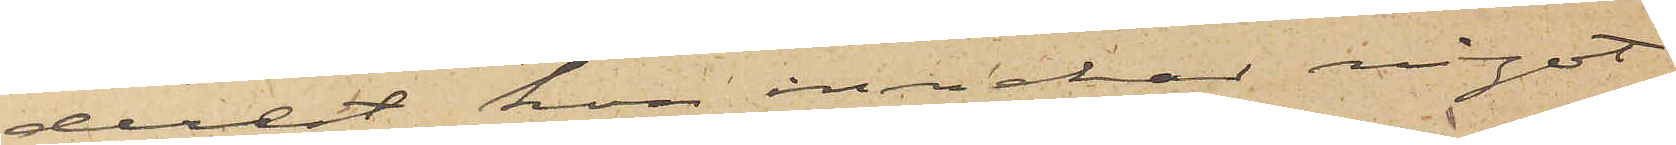derest hon innehar något
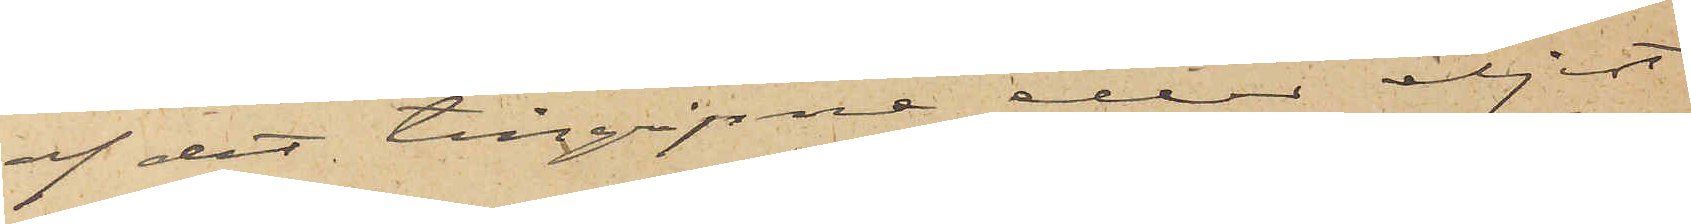af det tillgripne eller eljest
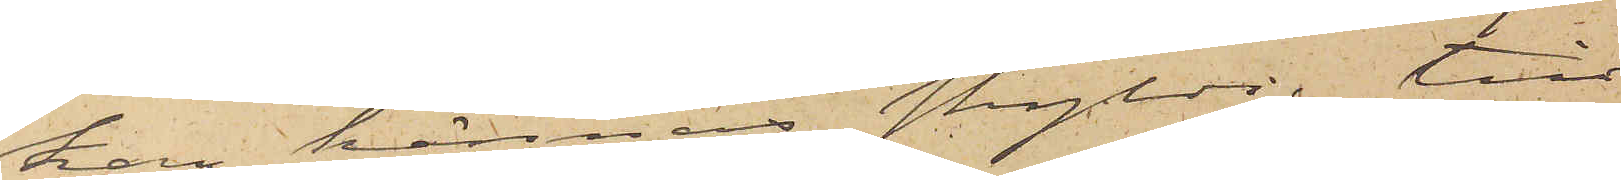kan kännas skyldig till
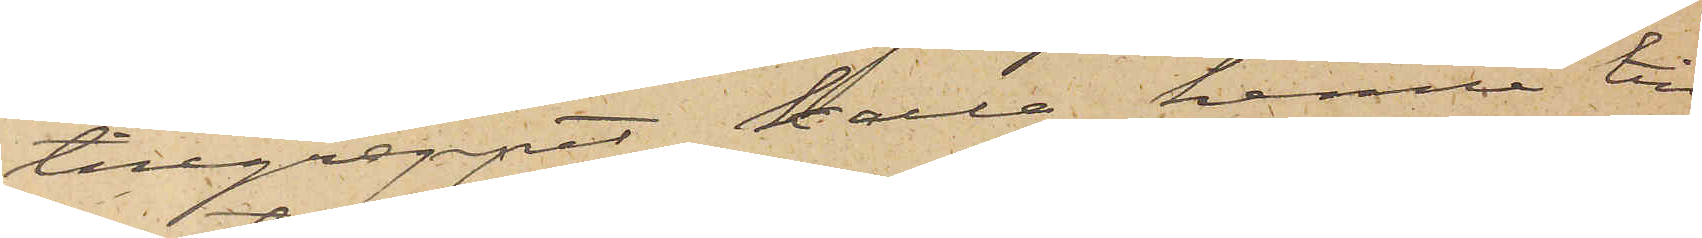tillgreppet, kalla henne till
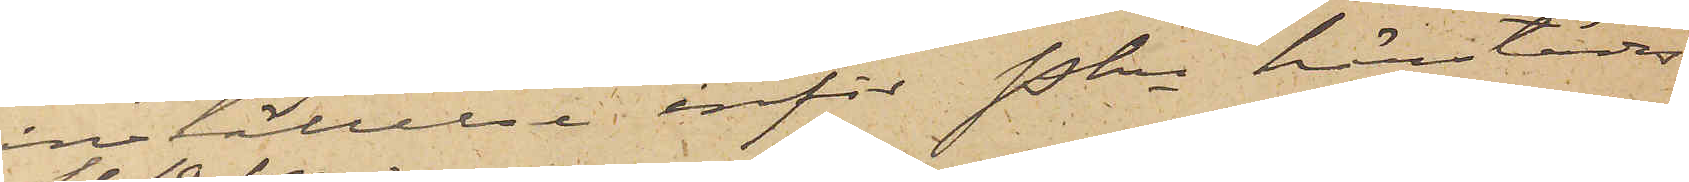inställelse inför Pkn härstädes
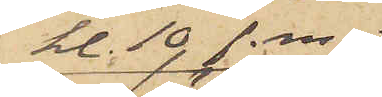kl. 10 f. m.
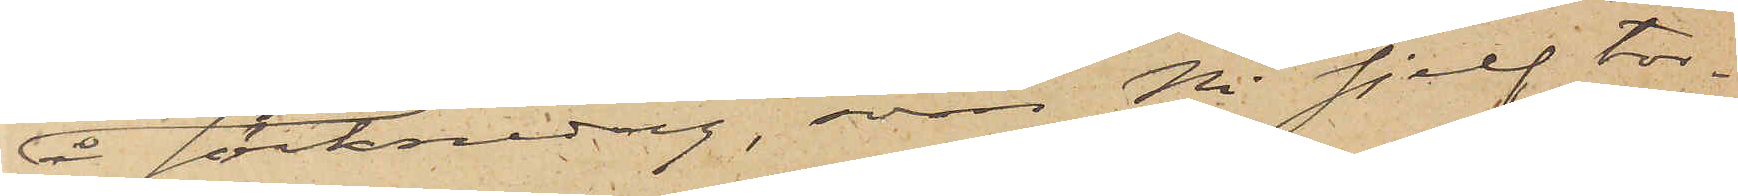å söcknedag, som Ni sjelf tor¬
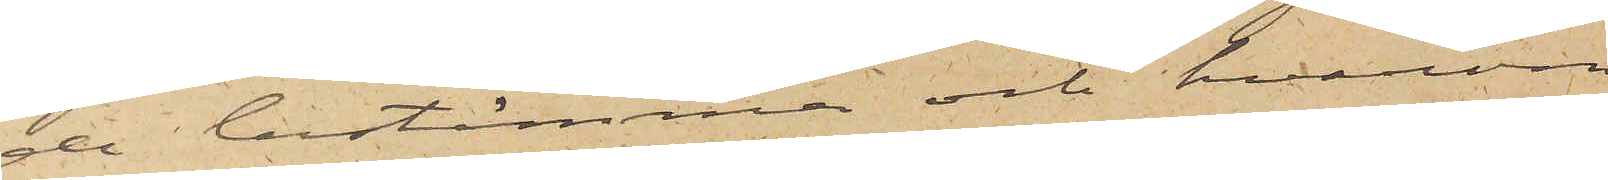de bestämma och hvarom
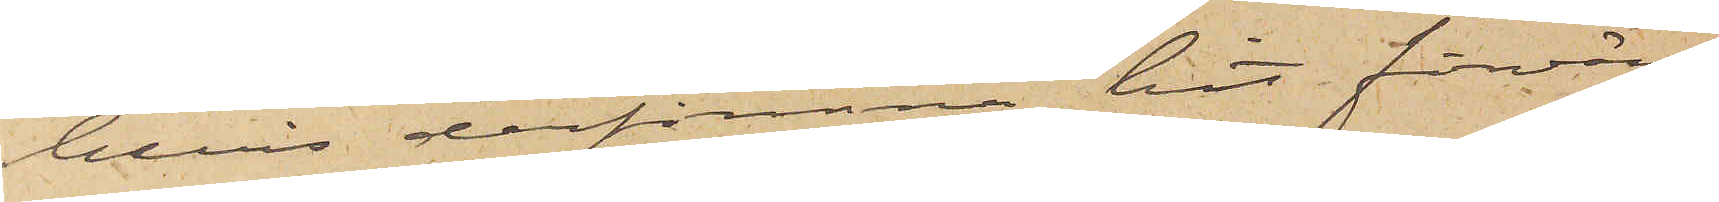bevis derförinnan hit förvän¬
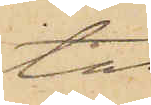tas.
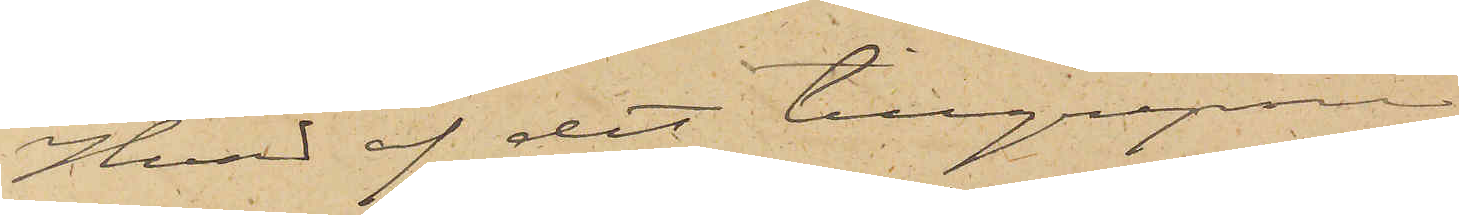Hvad af det tillgripne
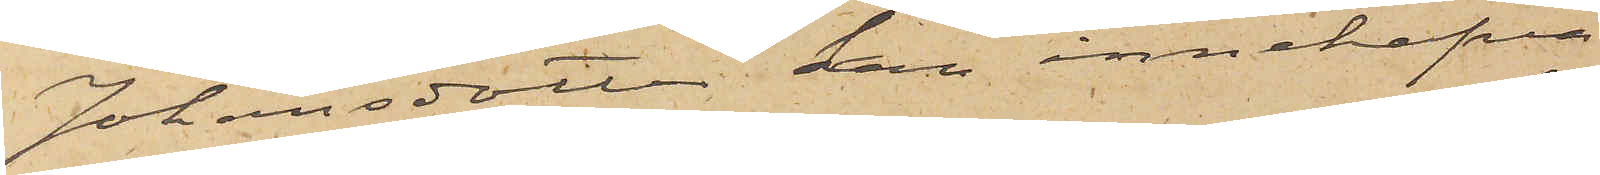Johansdotter kan innehafva
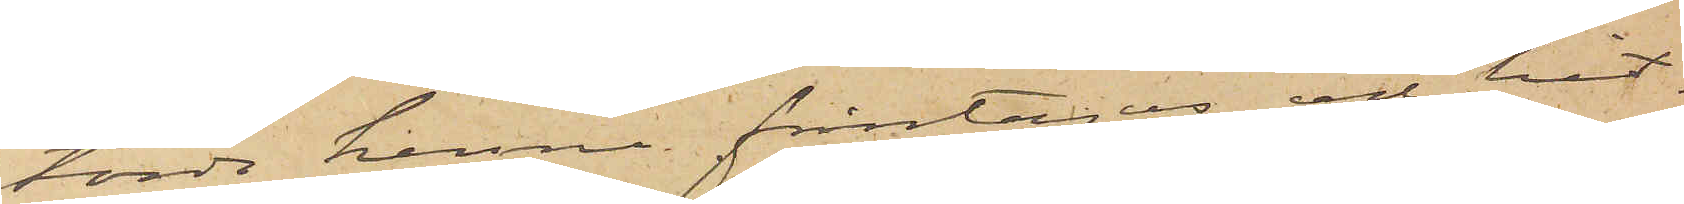torde henne fråntagas och hit¬
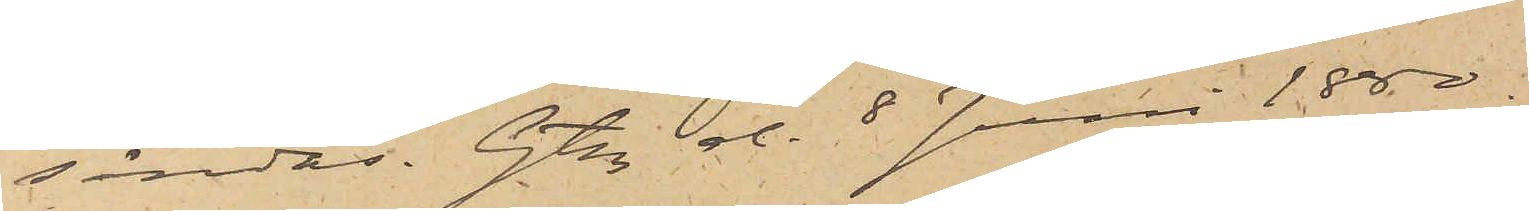sändas. Gtbg d. 8 Juni 1880.
